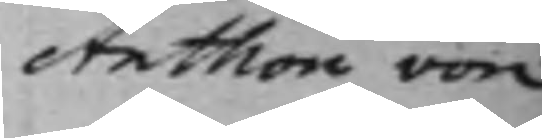Anthon von
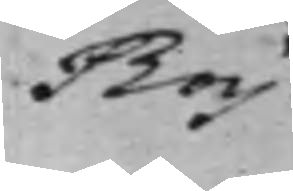Boy.
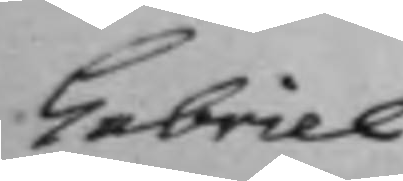Gabriel
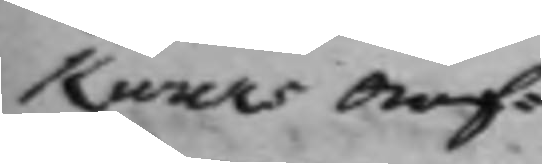Kurcks Arf¬
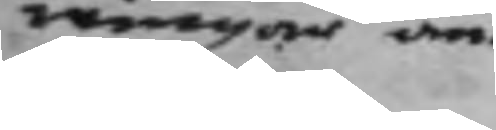wingar an¬
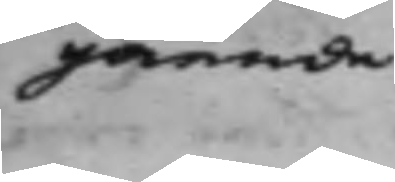gående
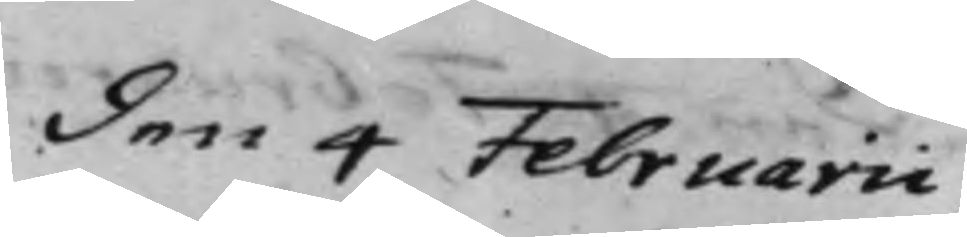den 4 Februarii
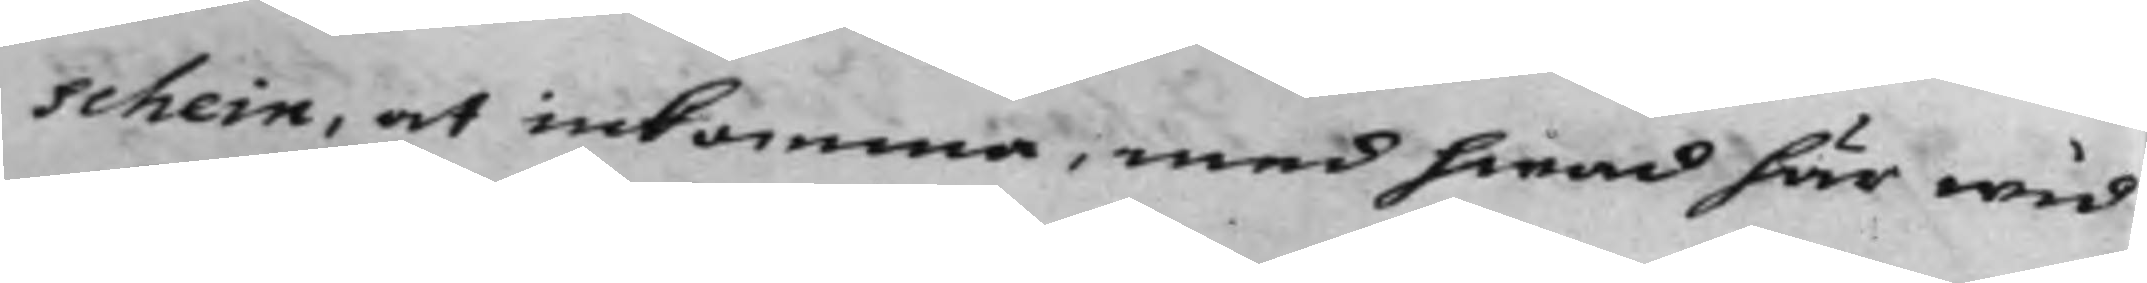schein, at inkomma, med hwad här wid
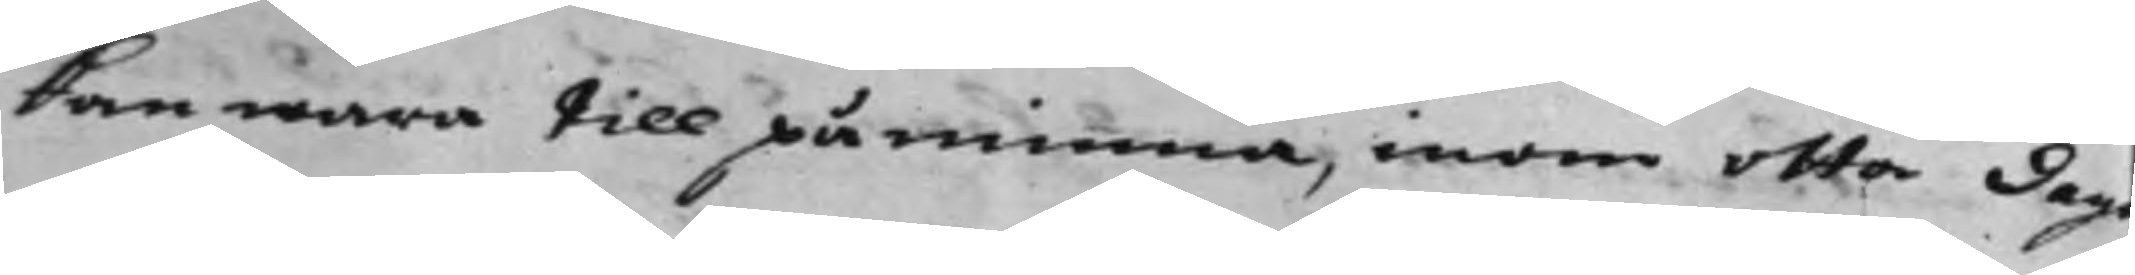kan wara till påminna, inom otta dag
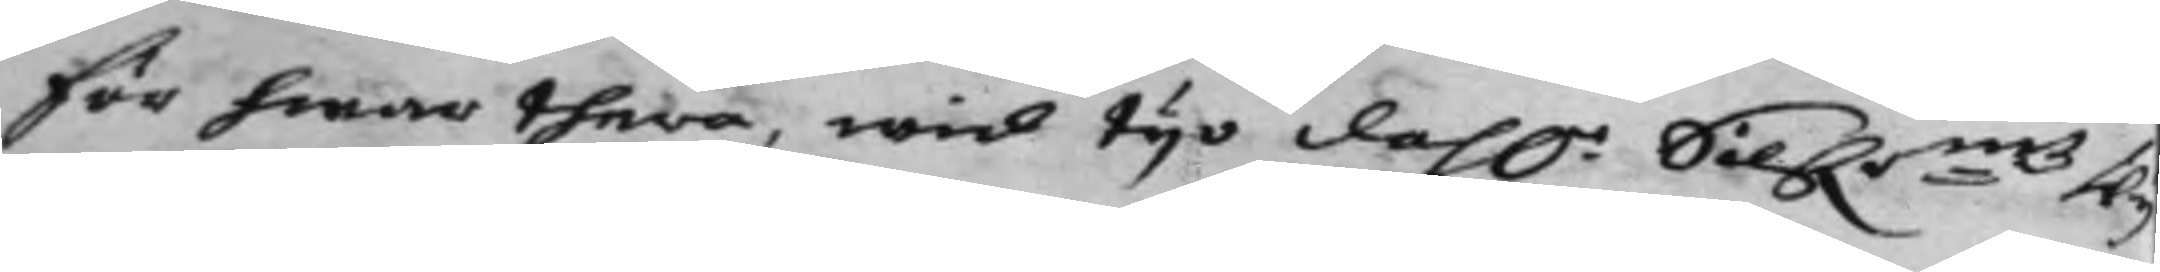för hwar thera, wid tijo dah.r Silf.r:mtz Wij¬
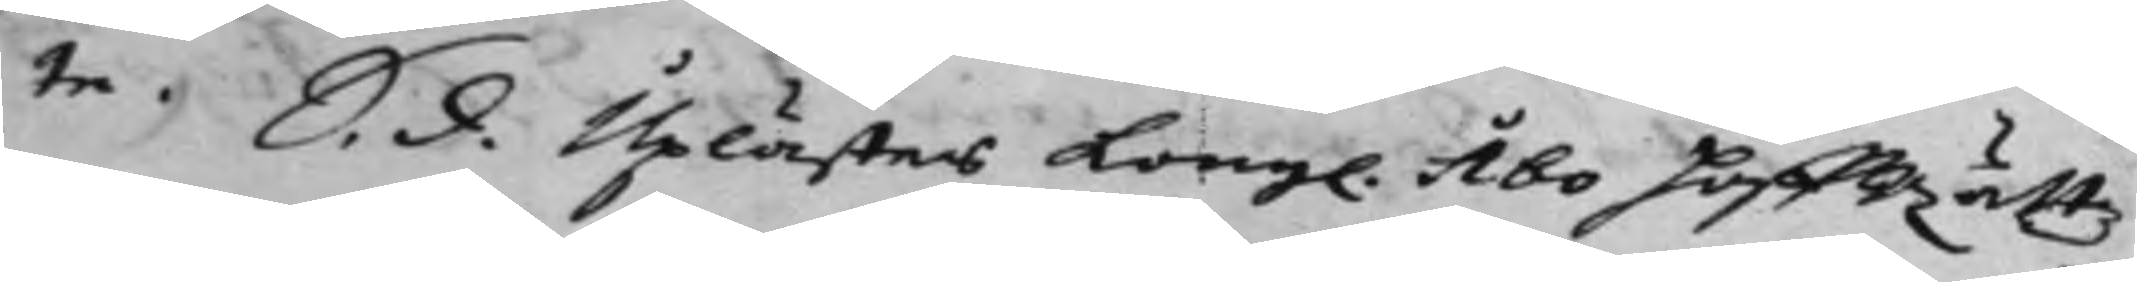te. S. d. Uplästes Kongl. Åbo HoffRättz
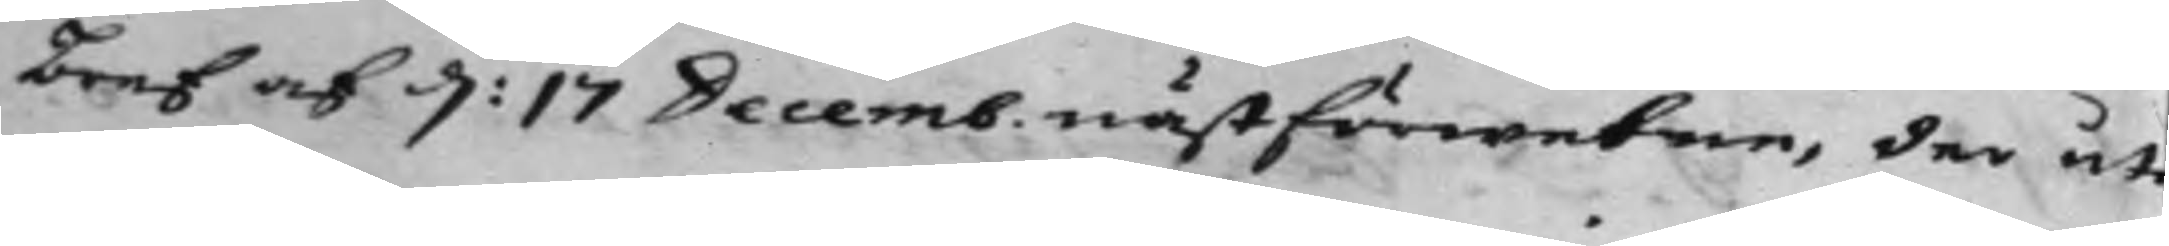Bref af d: 17 Decemb. nästförwetne, der uti
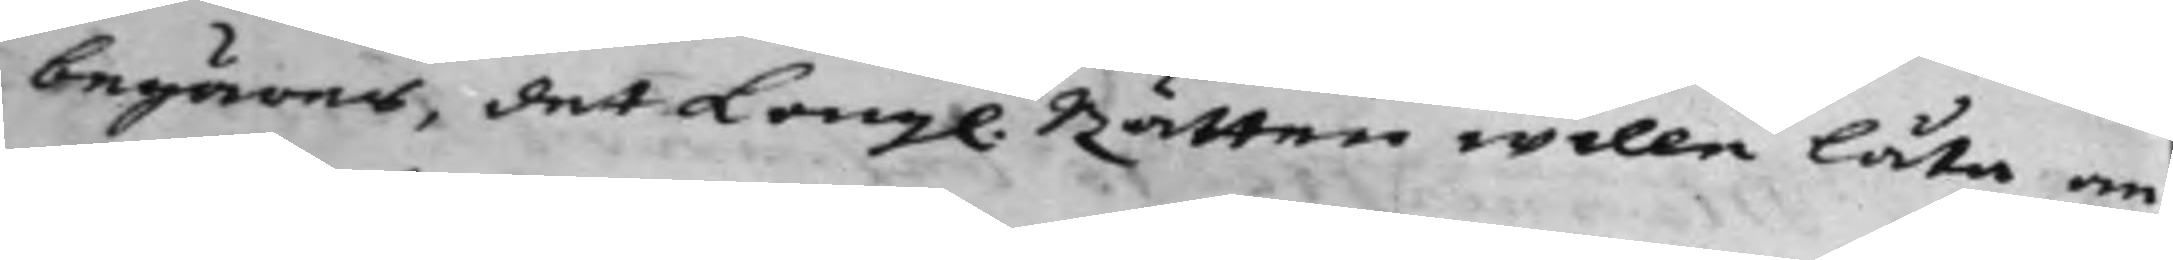begäres, det Kongl. Rätten wille låta an¬
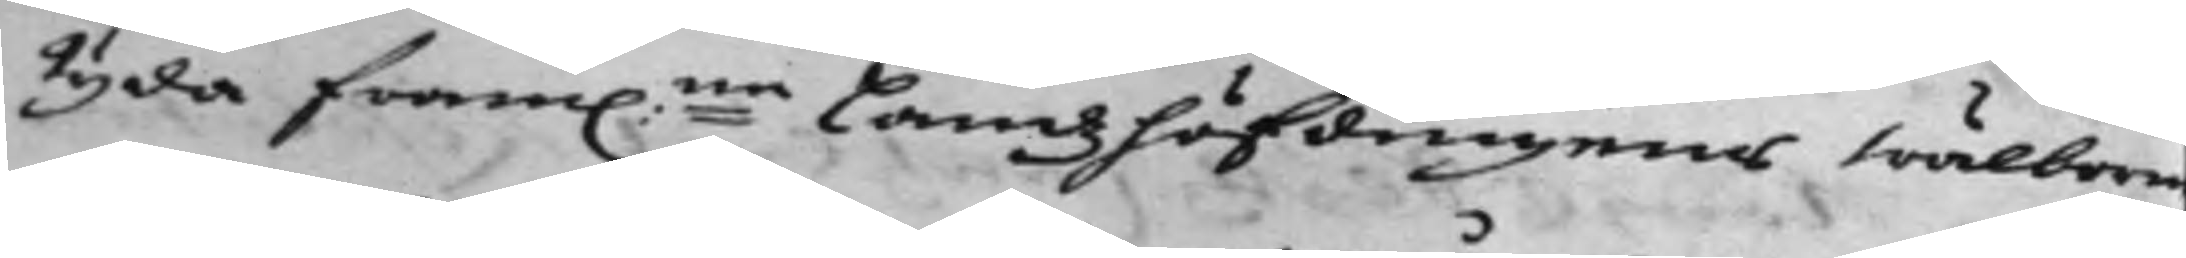tyda fram:ne Landzhöfdingens Wälborn
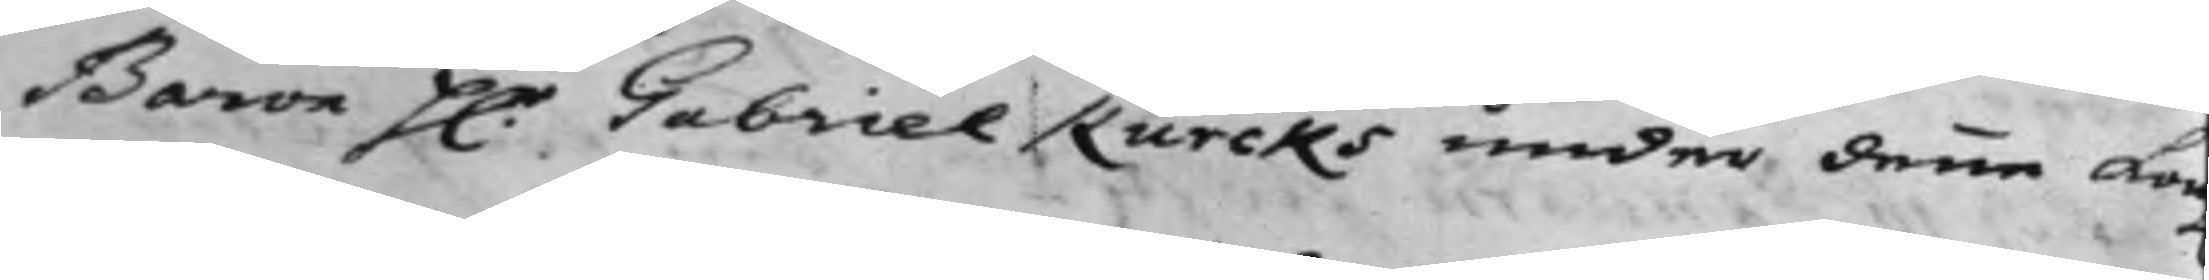Baron H.r Gabriel Kurcks under denne Kon
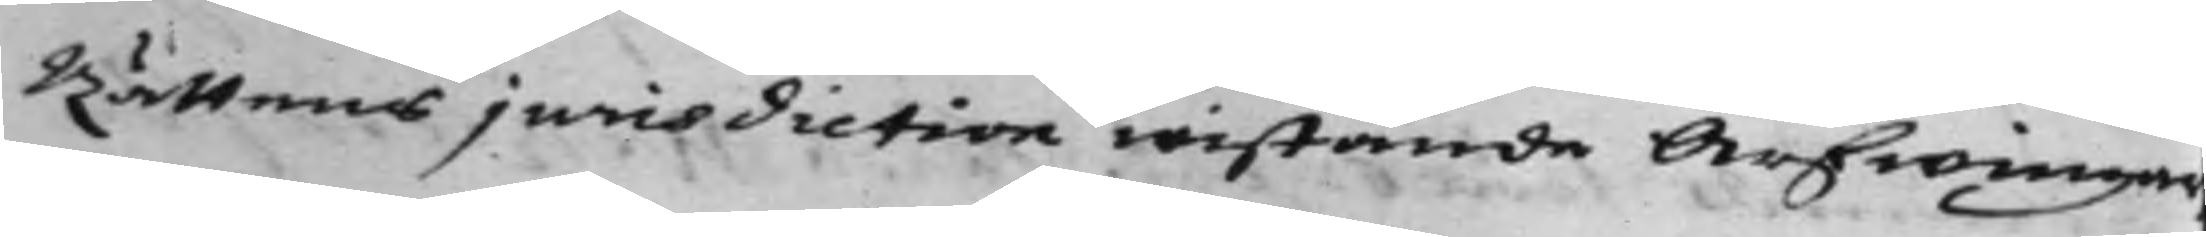Rättens jurisdiction wistande Arfwingar
